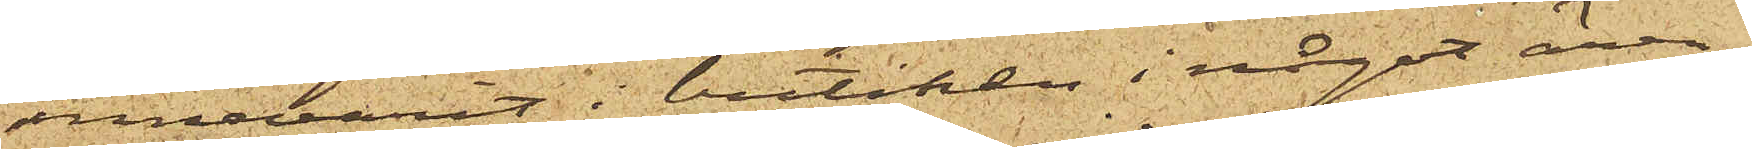innevarit i butiken i något ären¬
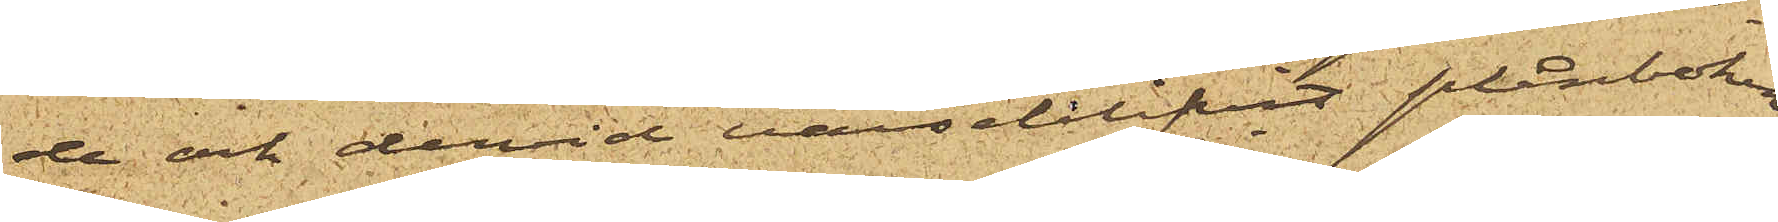de och dervid varseblifvit plånboken
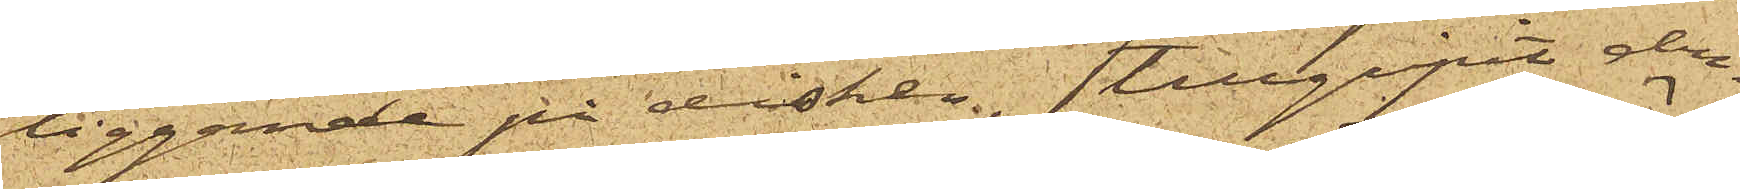liggande på disken, tillgripit den¬
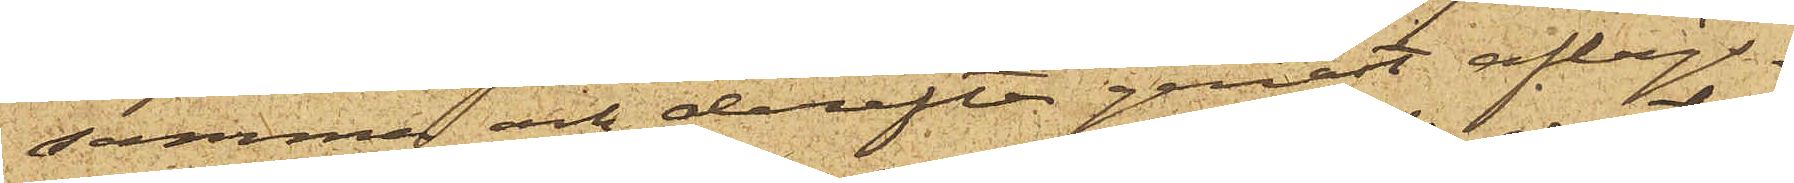samma och derefter genast aflägs¬
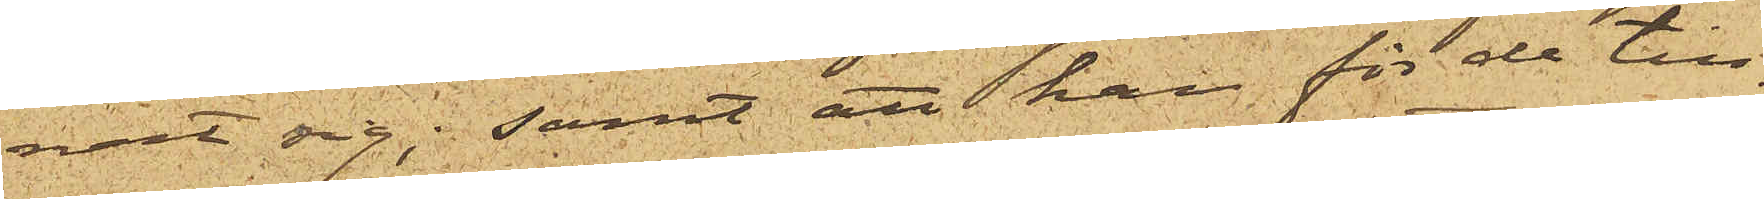nat sig; samt att han för de till¬
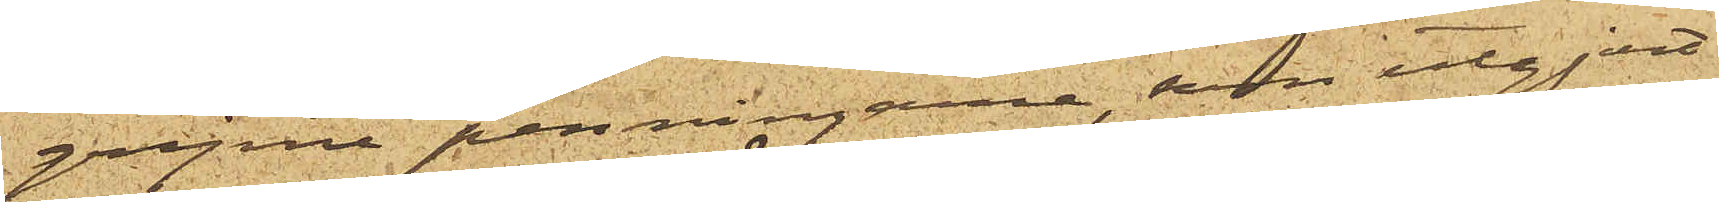gripne penningarne, som utgjort
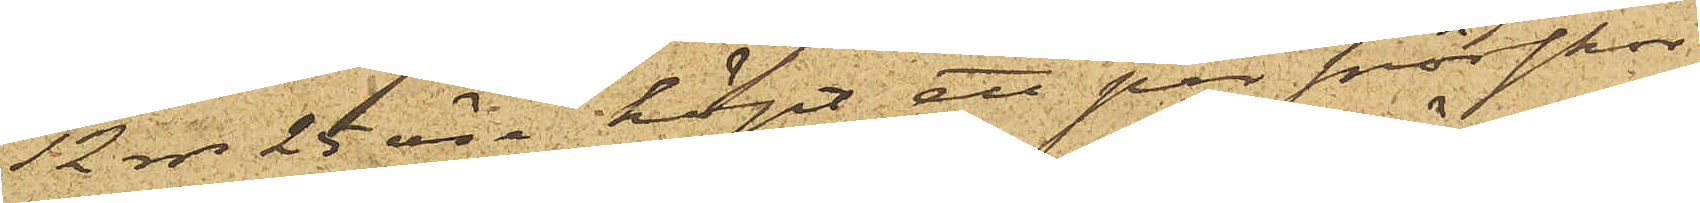12 rdr 25 öre köpt ett par snörskor
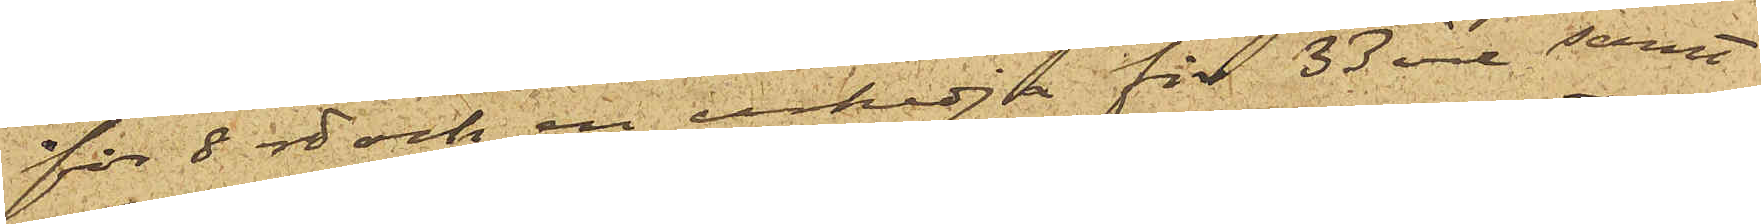för 8 rdr och en urkedja för 33 öre samt
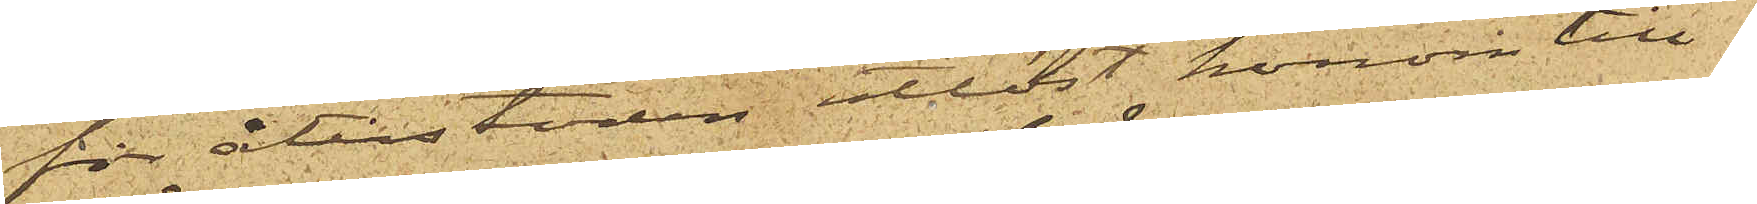för återstoden utlöst honom till¬
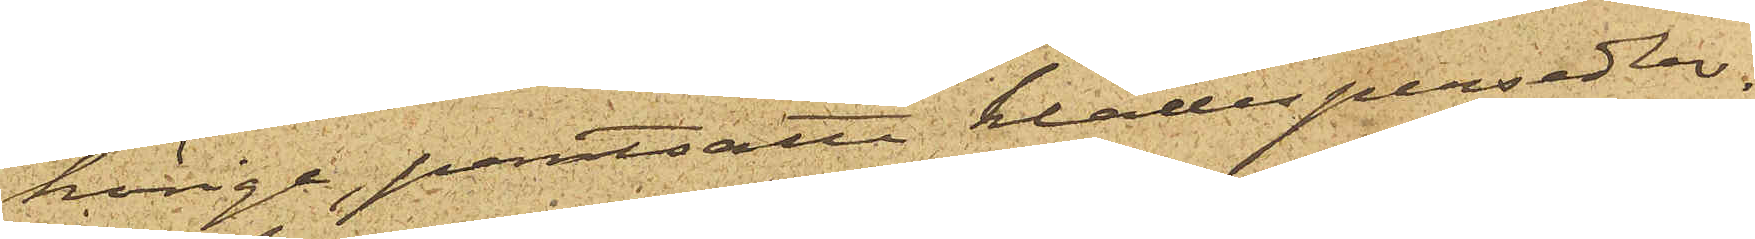hörige pantsatte klädespersedlar.
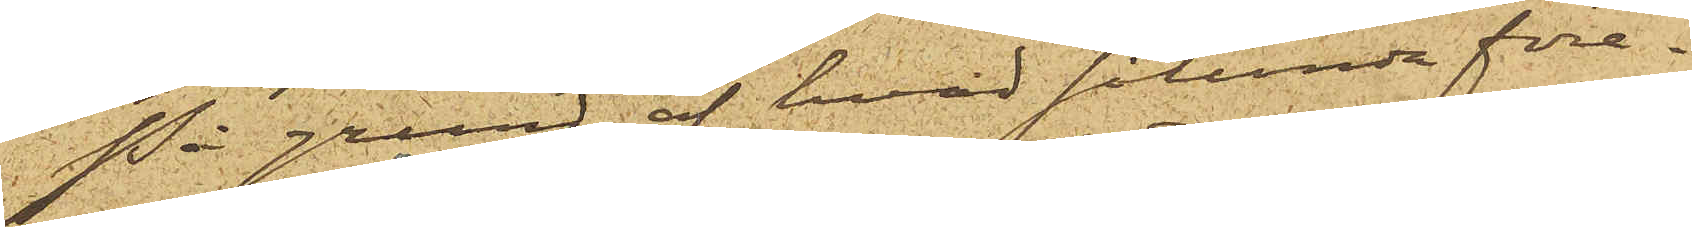På grund af hvad sålunda före¬
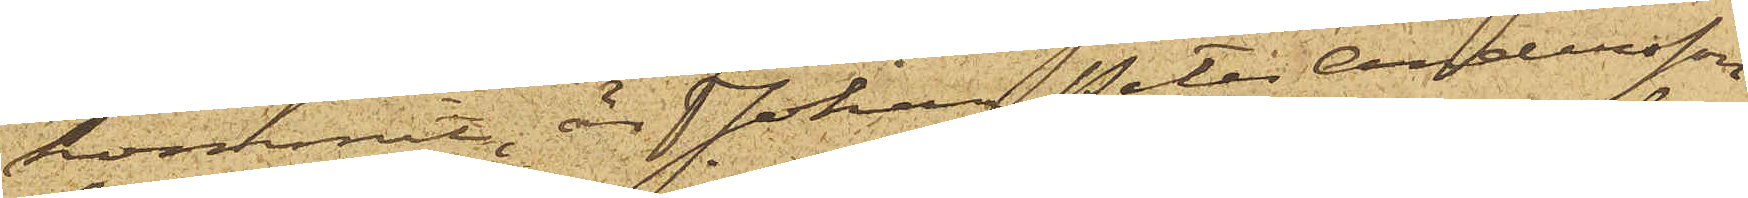kommit, är Johan Peter Andersson
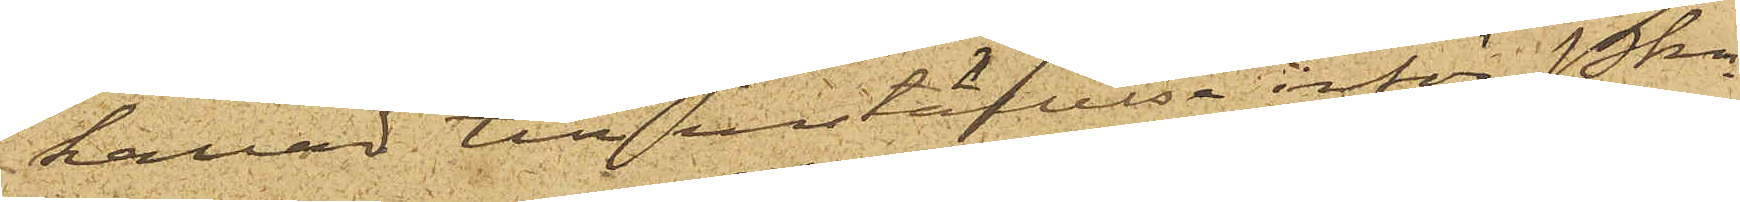kallad till inställelse inför Pkn
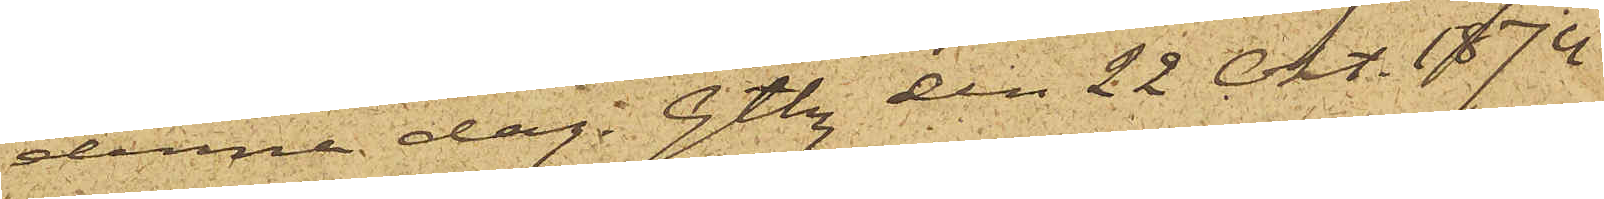denna dag. Gtbg den 22 Okt. 1874
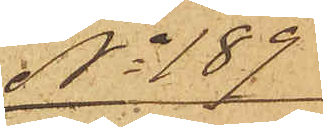No 189
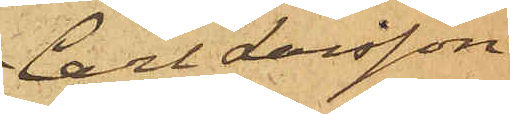Carl Larsson
